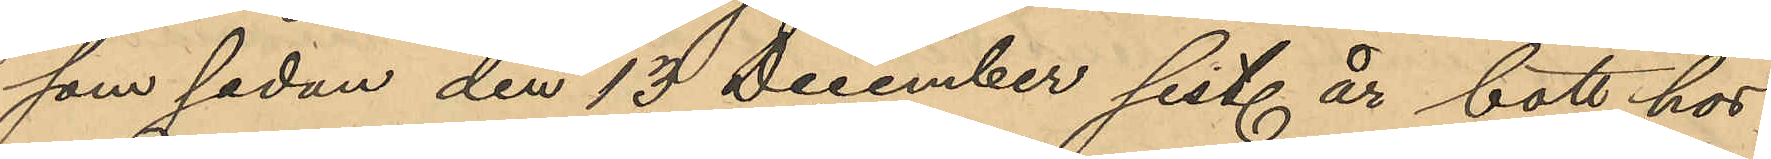som sedan den 13 December sist. år bott hos
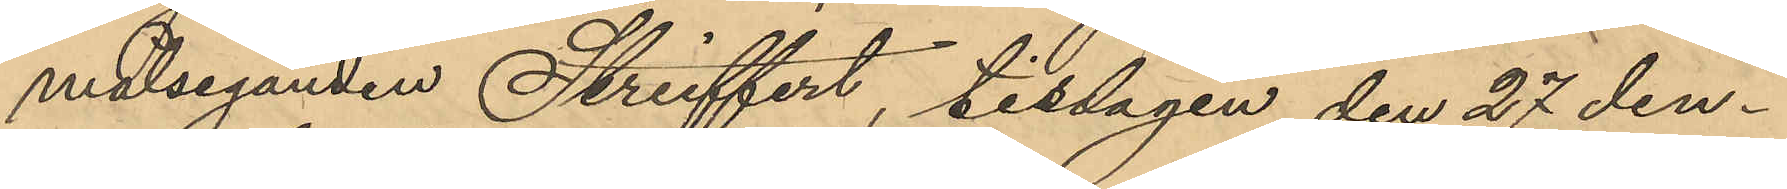målseganden Strieffert, tisdagen den 27 den¬
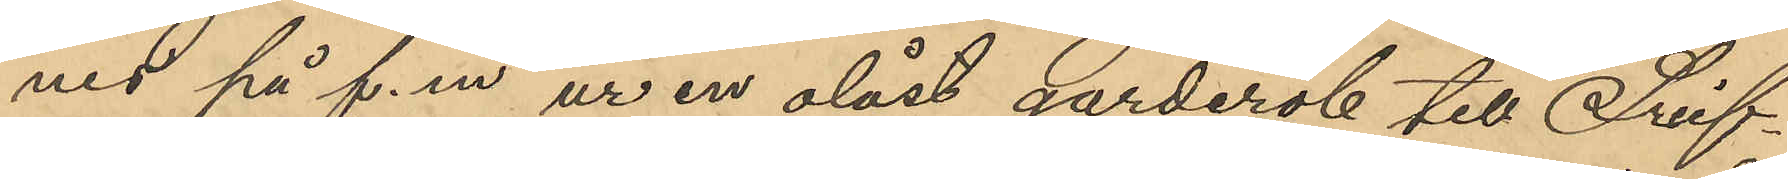nes på f.m. ur en olåst garderob till Strief¬
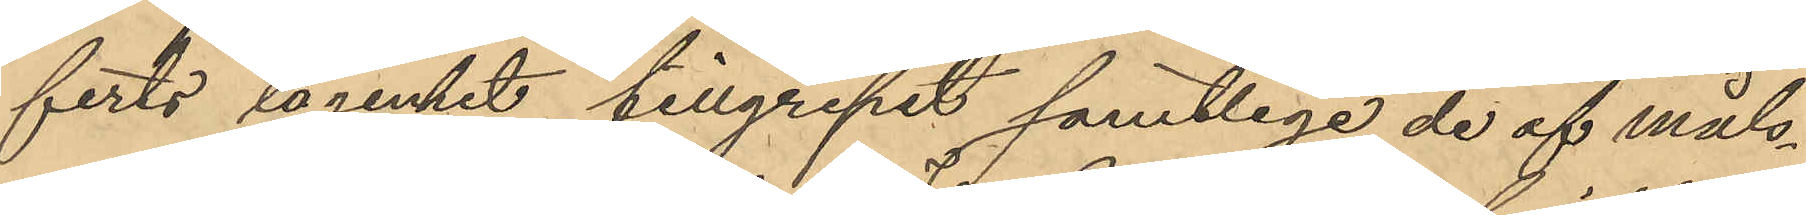ferts lägenhet tillgripit samtlige de af måls¬
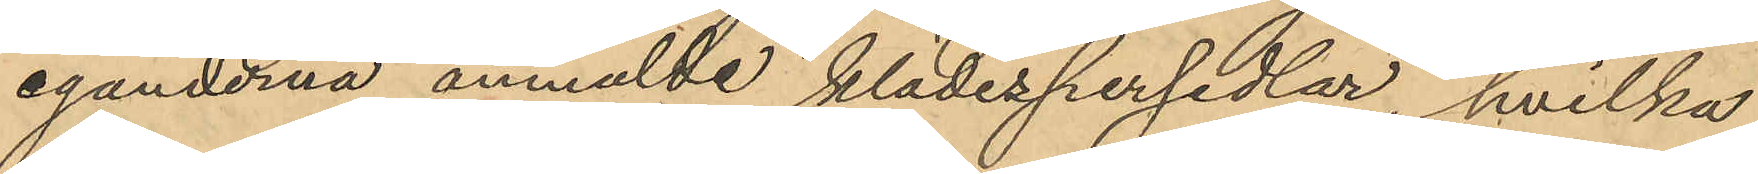eganderna anmälde klädespersedlar, hvilka
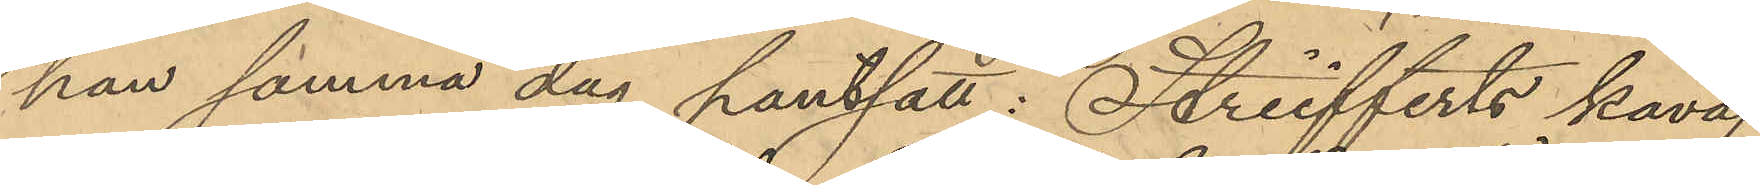han samma dag pantsatt: Striefferts kavaj
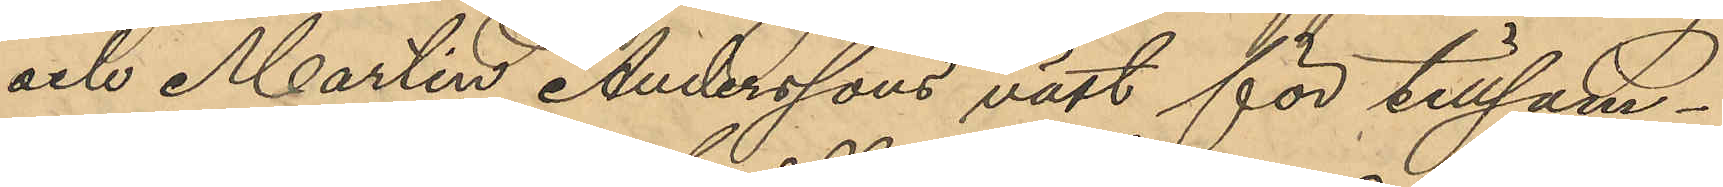och Martin Anderssons väst för tillsam¬
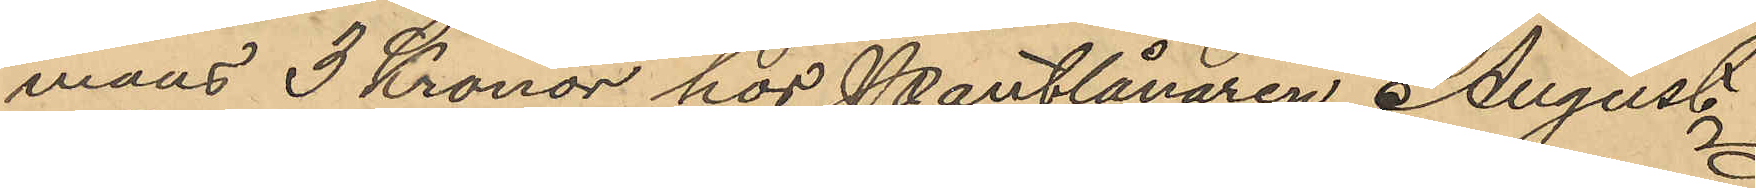mans 3 Kronor hos Pantlånaren August
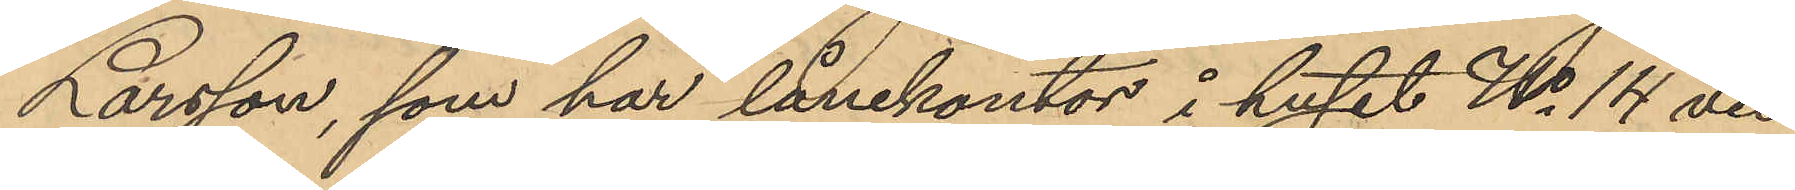Larsson, som har lånekontor i huset No 14 vid
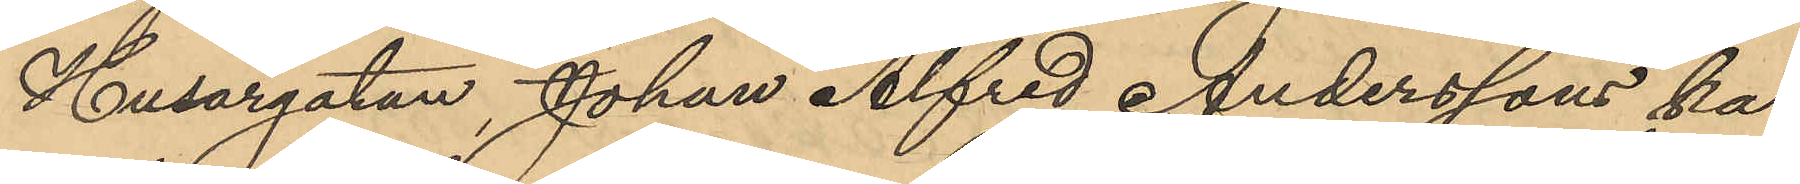Husargatan, Johan Alfred Anderssons ka¬
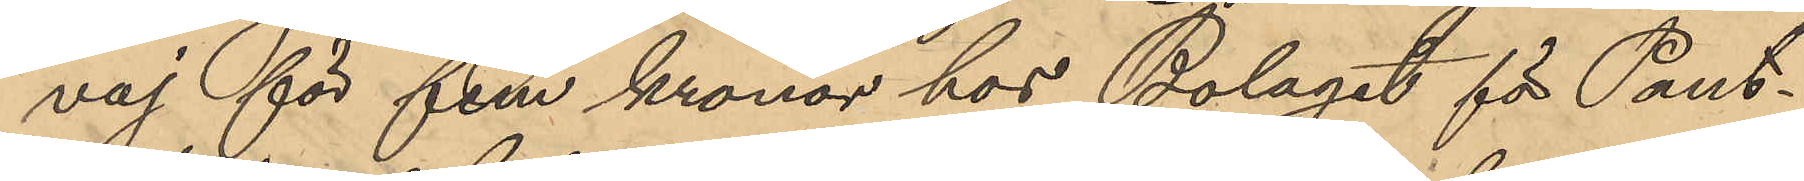väg för fem kronor hos Bolaget för Pant¬
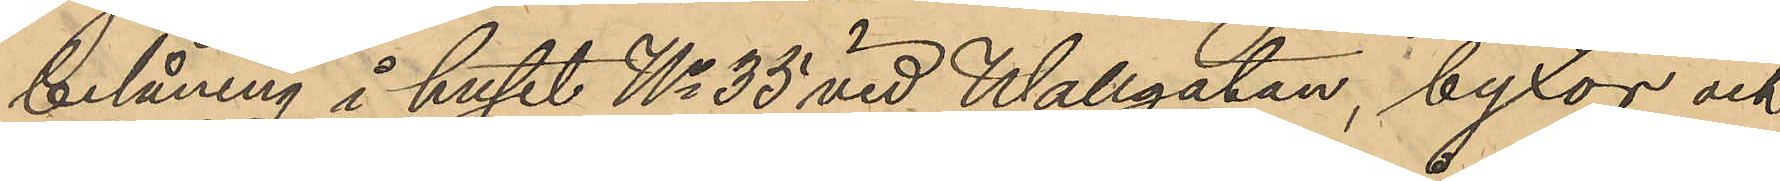belåning i huset No 35 vid Wallgatan, byxor och
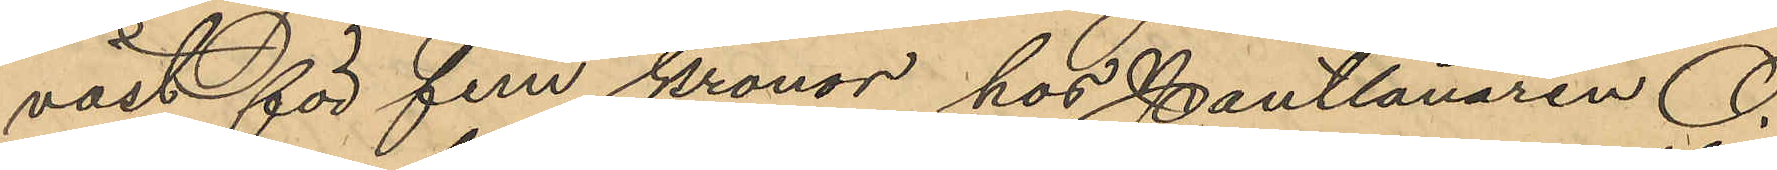väst för fem kronor hos Pantlånaren O.
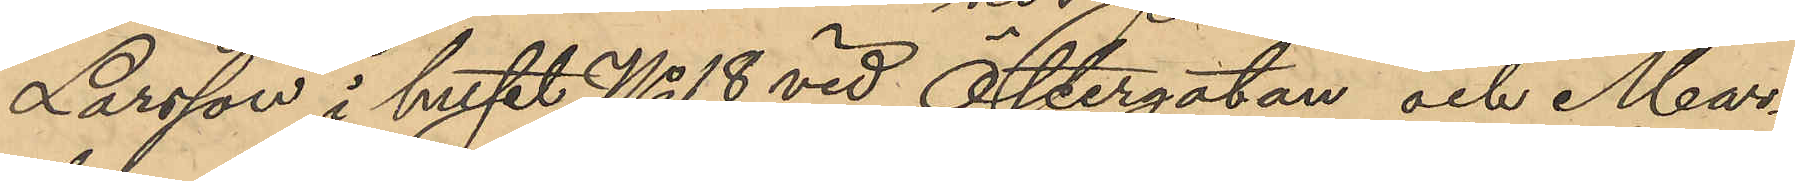Larsson i huset No 18 vid Östergatan och Mar¬
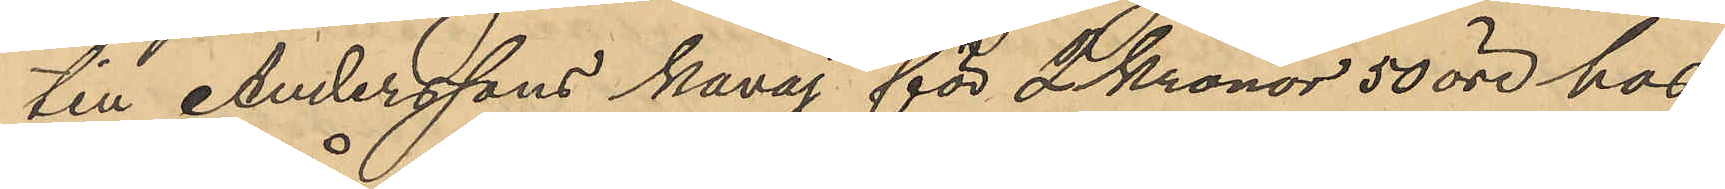ten Anderssons kavaj för 2 Kronor 50 öre hos
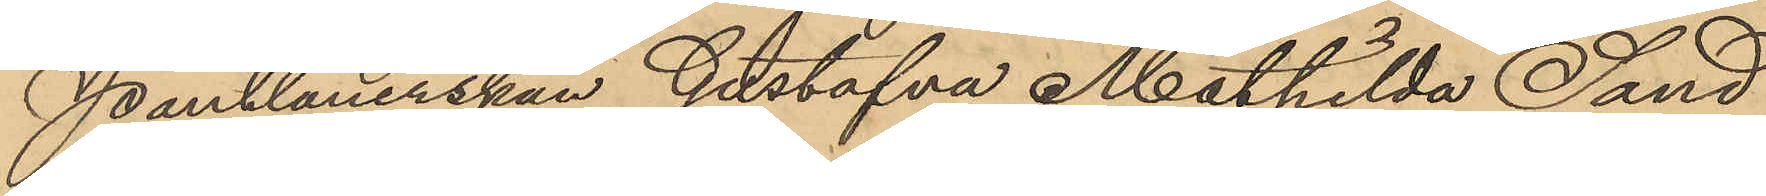Pantlånerskan Gustafva Mathilda Sand
